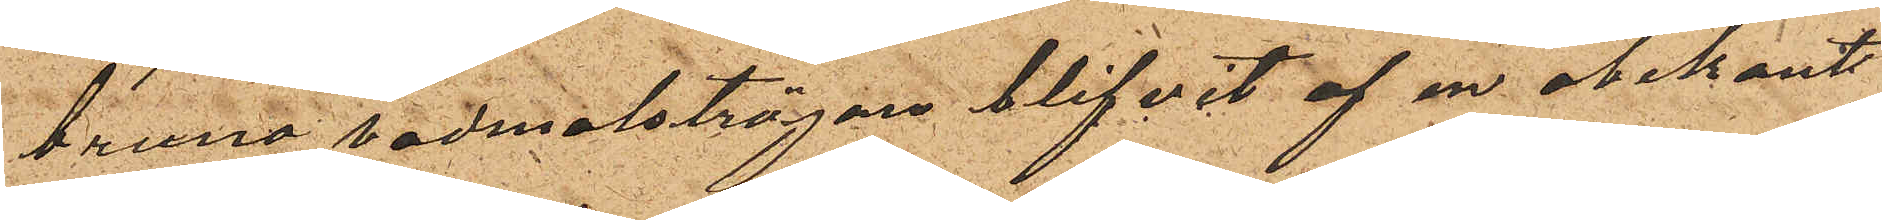bruna vadmalströjan blifvit af en obekant
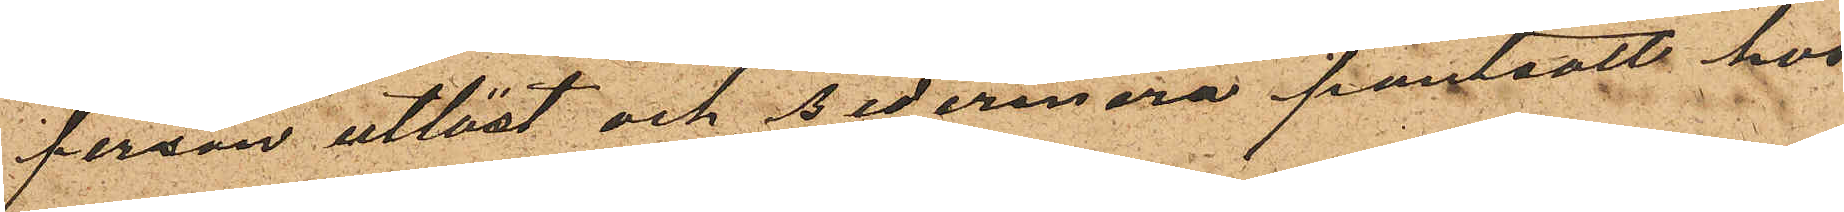person utlöst och sedermera pantsatt hos
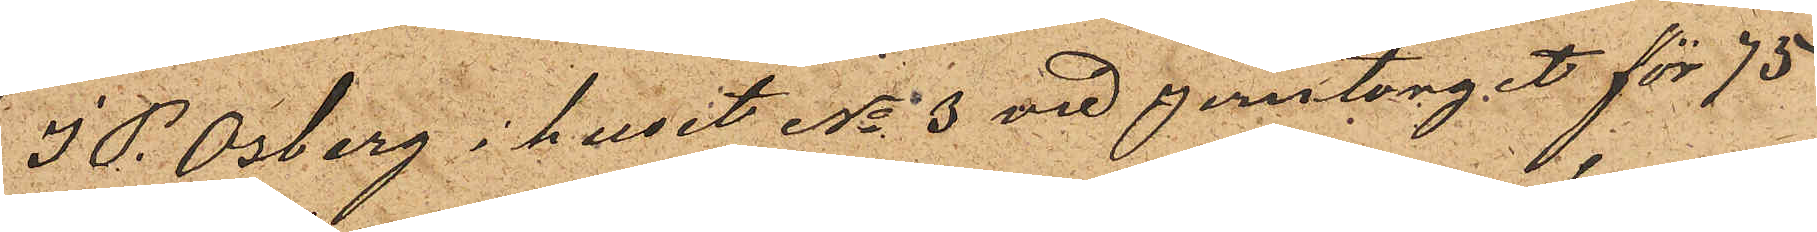J P. Osberg i huset No 3 vid Jerntorget för 75
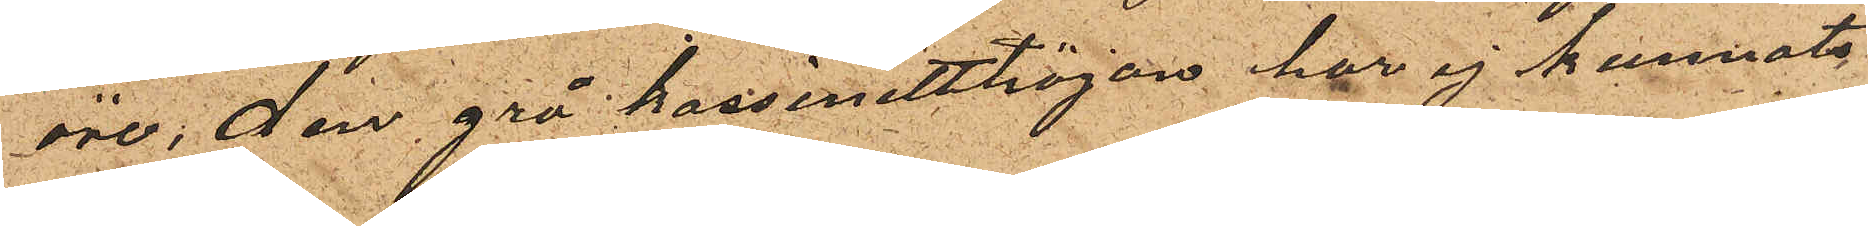öre, den grå kassinetttröjan har ej kunnats
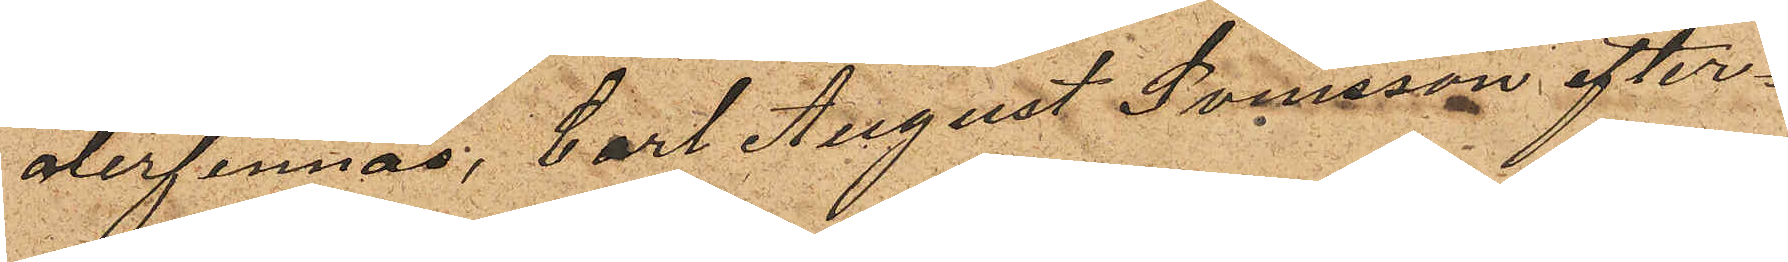återfinnas, Carl August Svensson efter¬
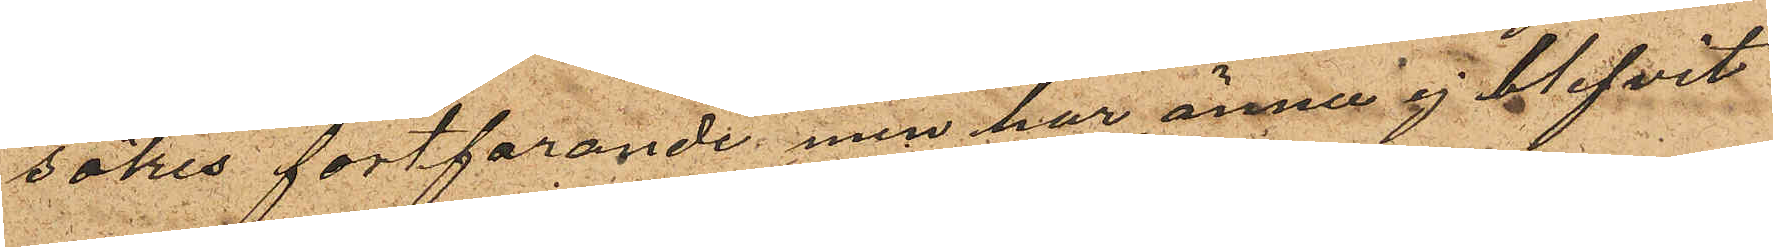sökes fortfarande men har ännu ej blifvit
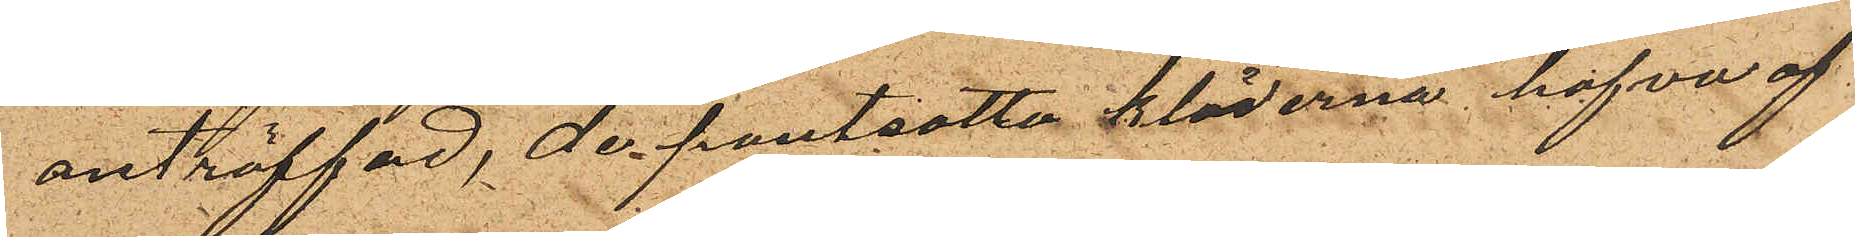anträffad, de pantsatta kläderna hafva af
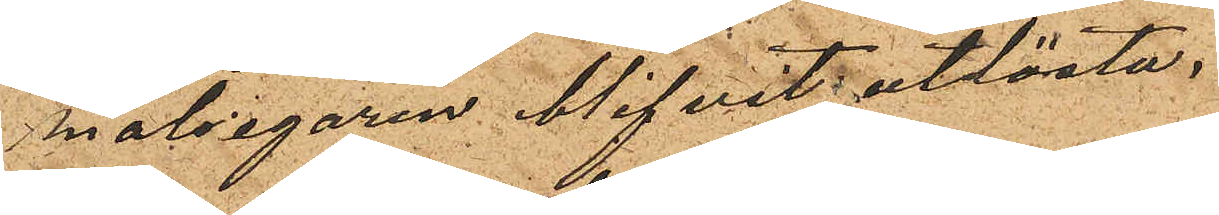målsegaren blifvit utlösta.
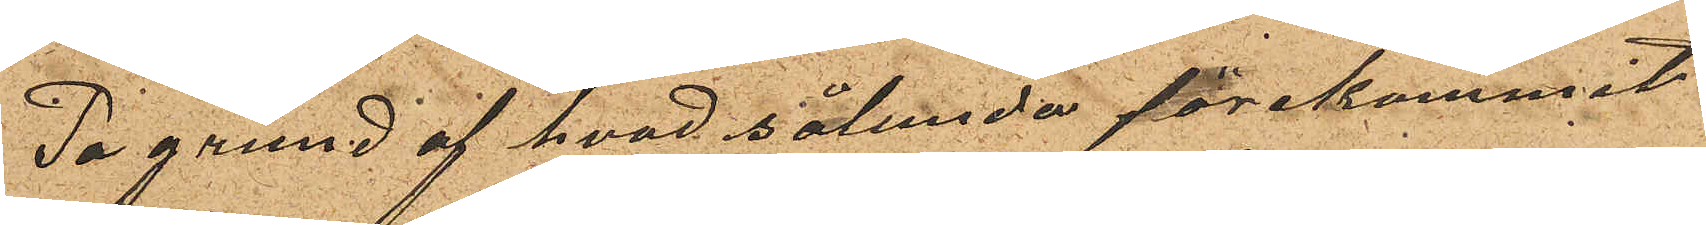På grund af hvad sålunda förekommit
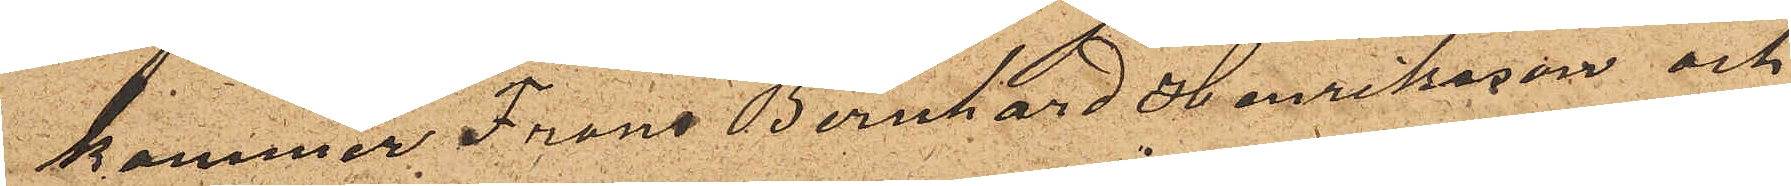kommer Frans Bernhard Henriksson och
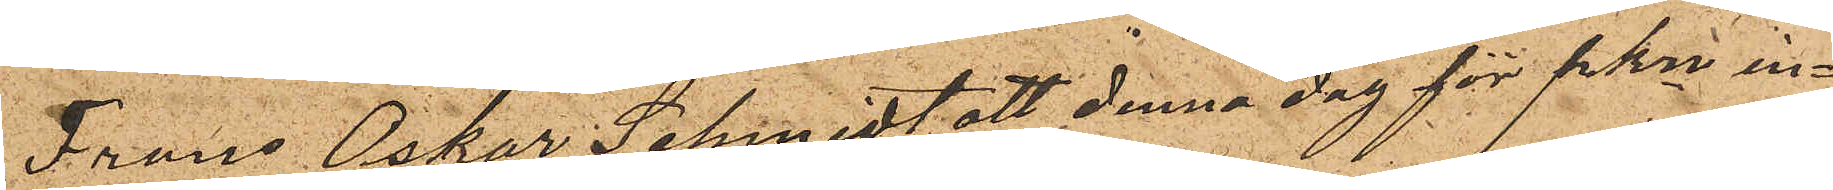Frans Oskar Schmidt att denna dag för PKn in¬
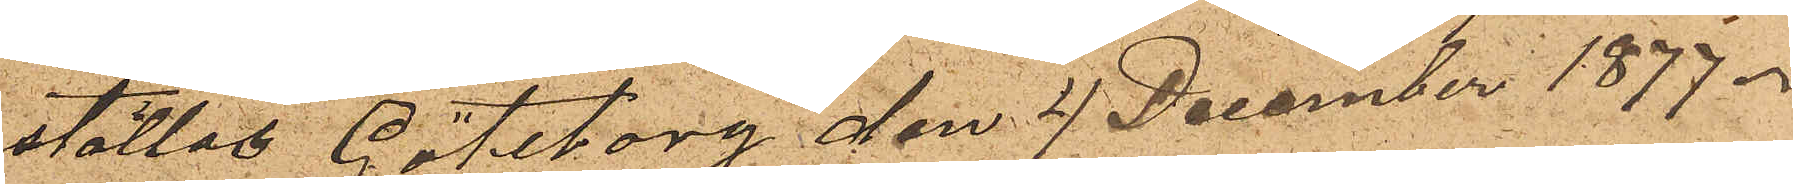ställas Göteborg den 4 December 1877.
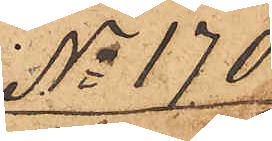No 170
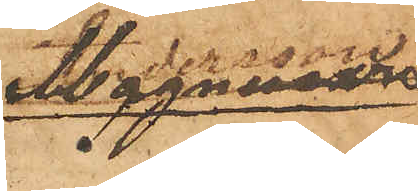Magnusson
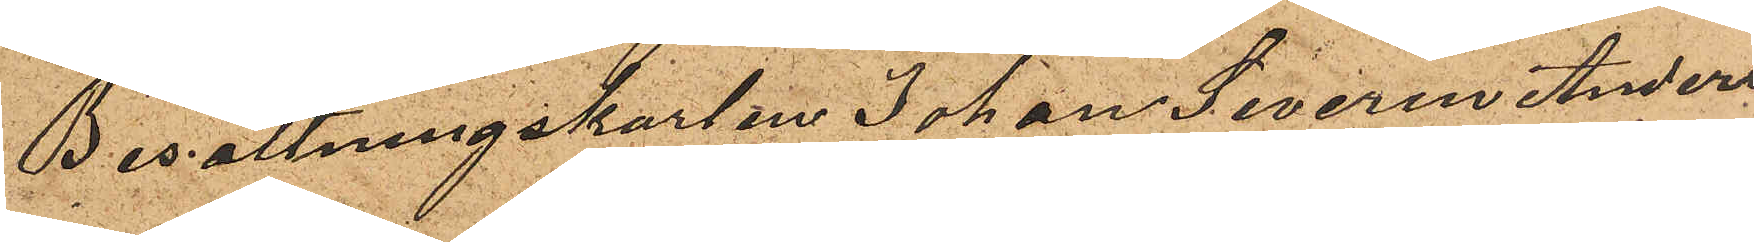Besättningskarlen Johan Severin Anders¬
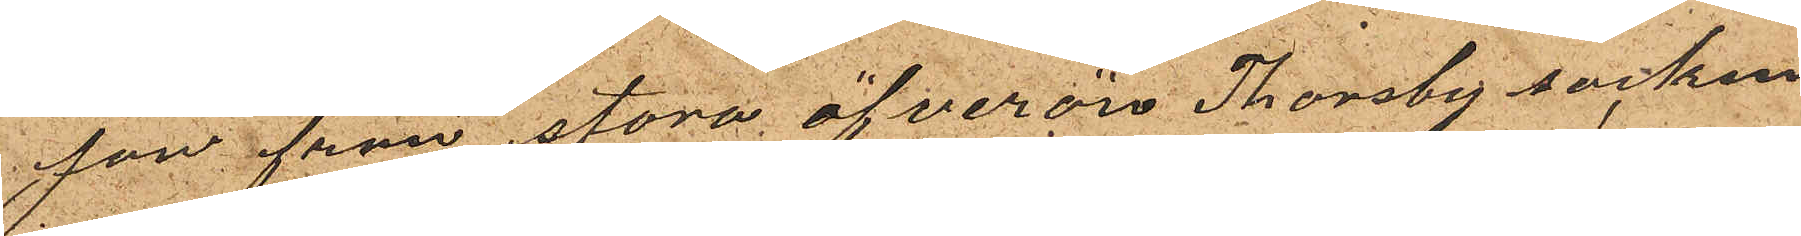son från stora öfverön Thorsby socken
